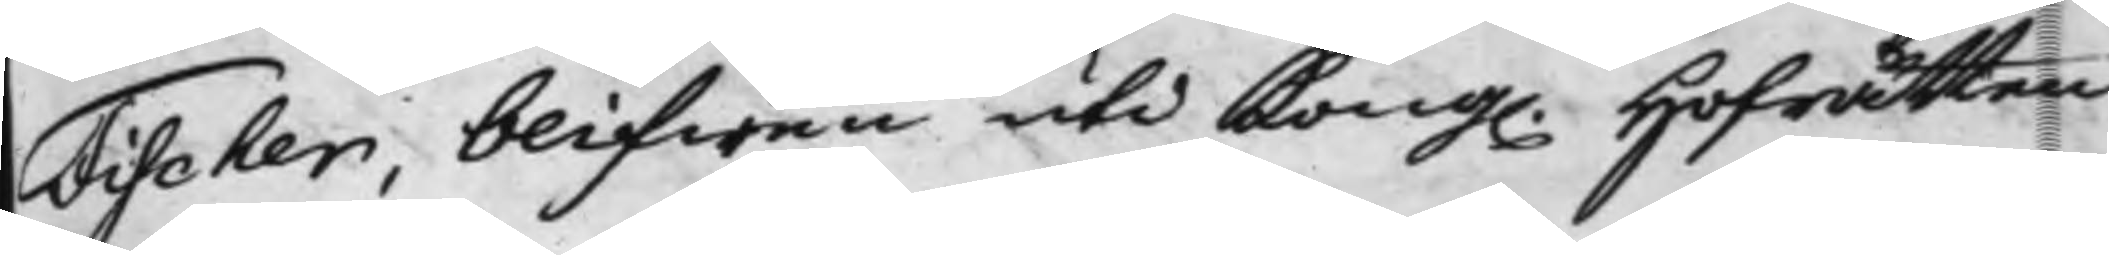Fischer, blifwen uti Kong. Hofrätten
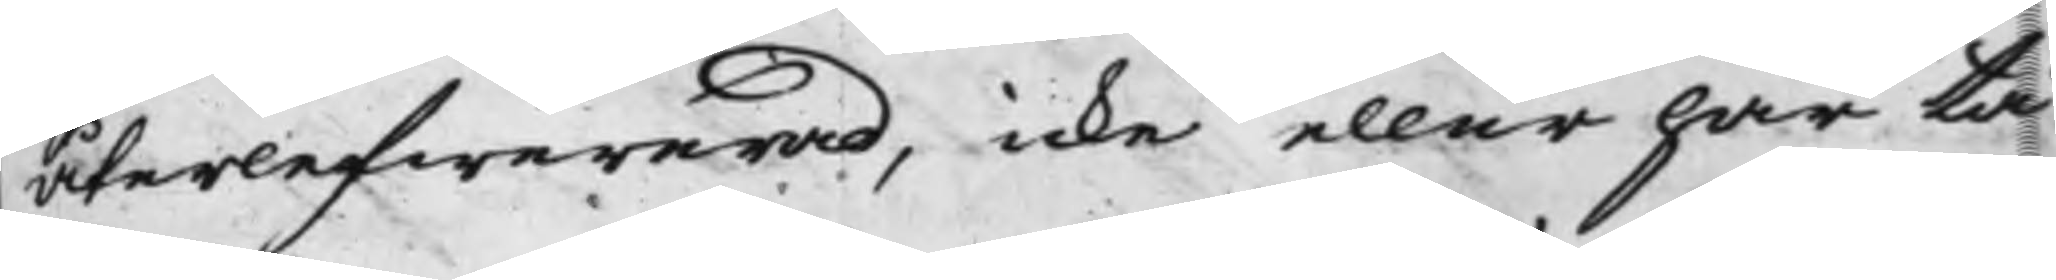återlefwererad, icke eller har tå
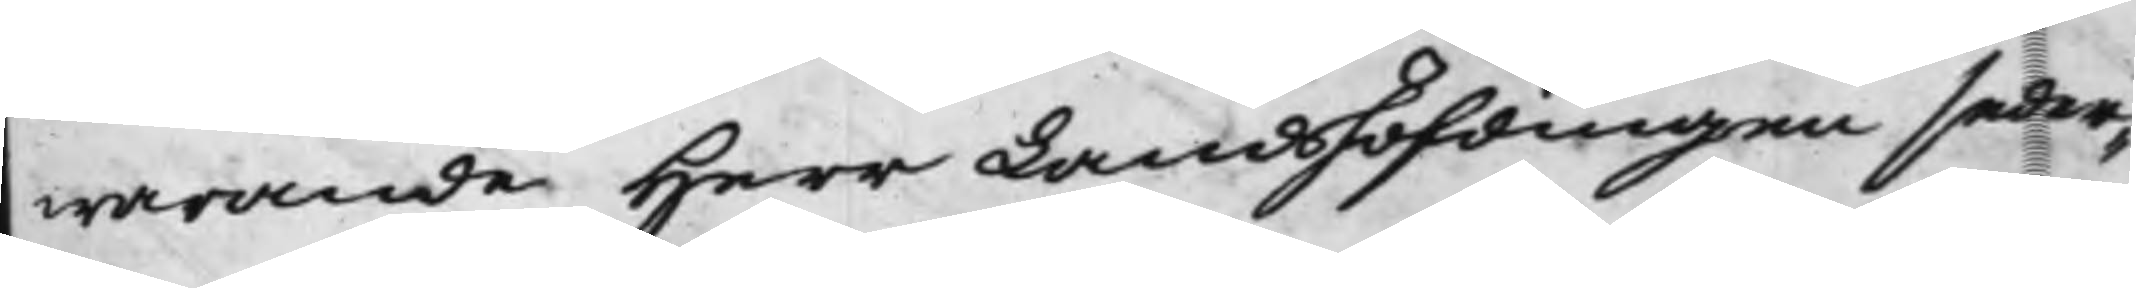warande Herr Landshöfdingen seder¬
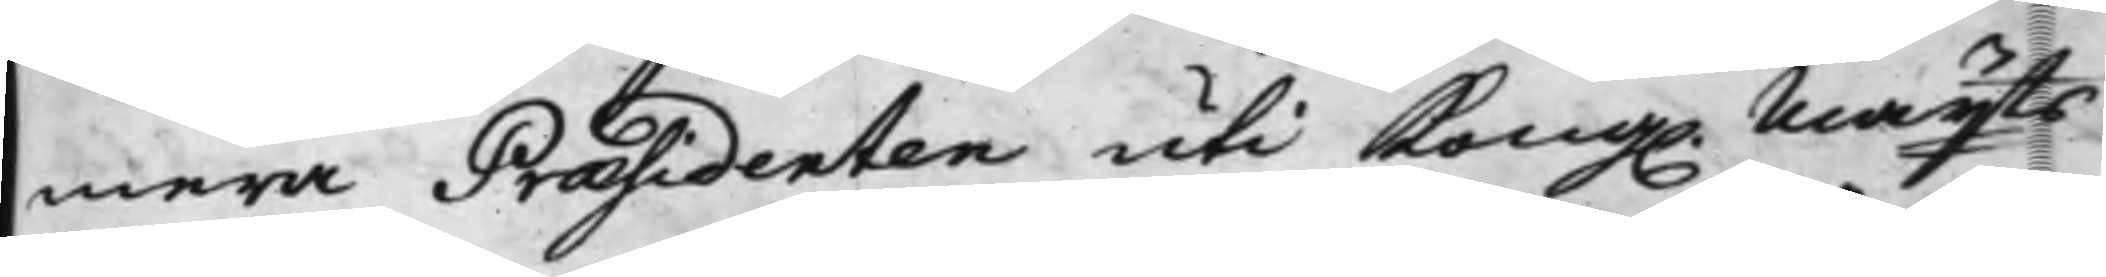mera Præsidenten uti Kong. Maijts
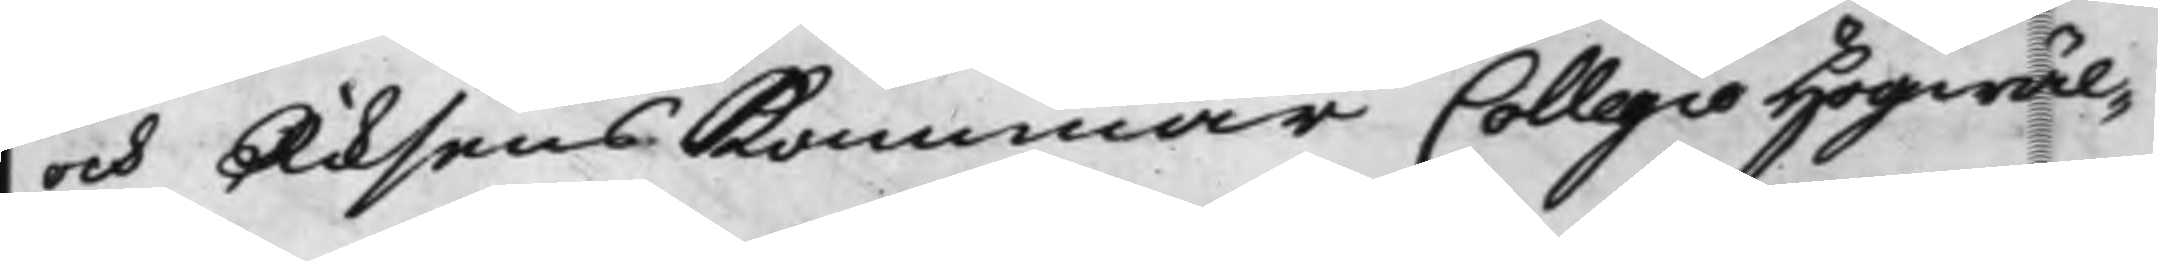och Riksens Kammar Collegio Högwäl¬
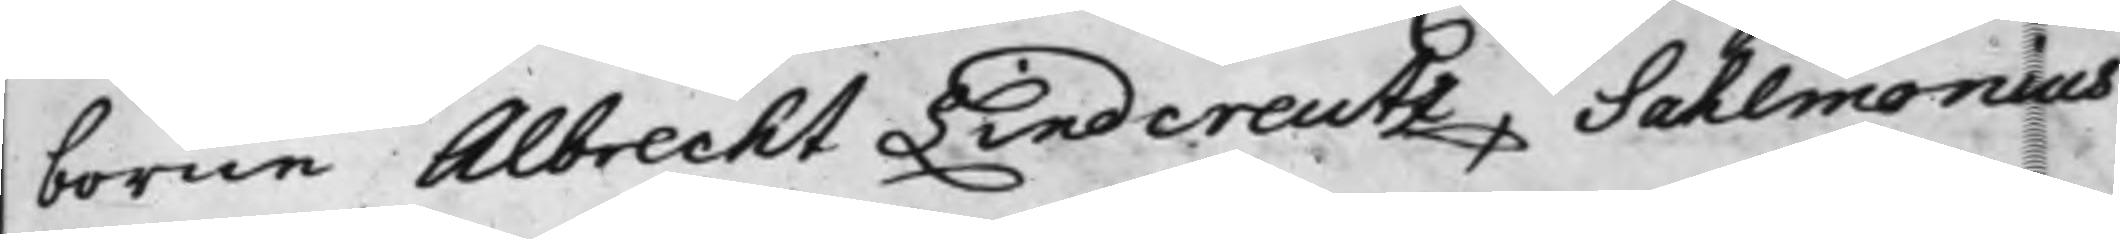borne Albrecht Lindcreutz, Sahlmonius
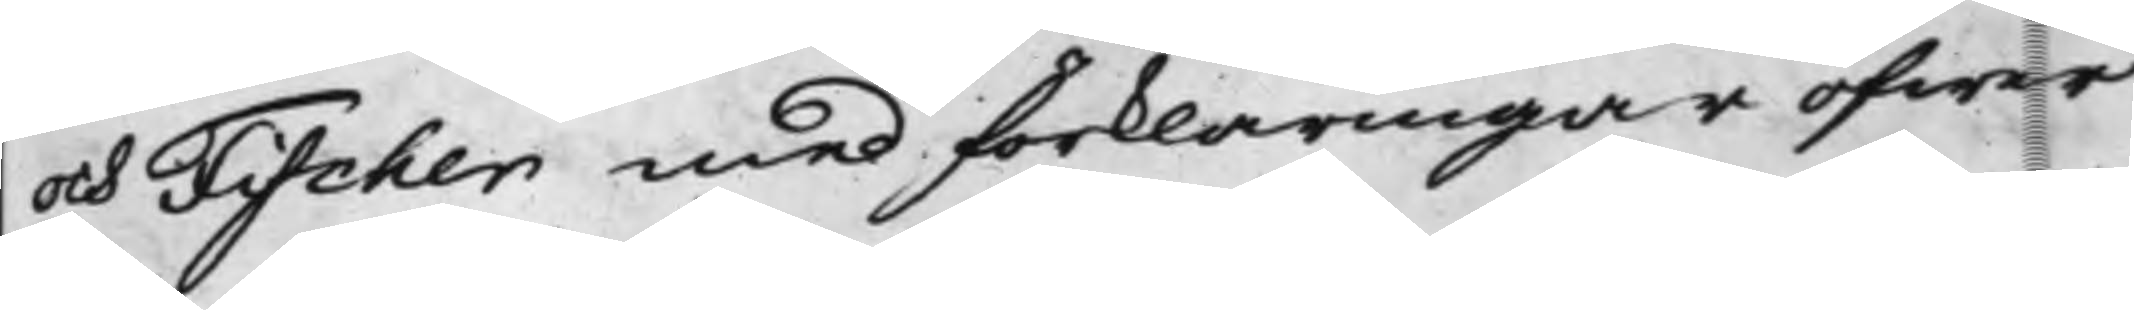och Fischer med förklaringar öfwer
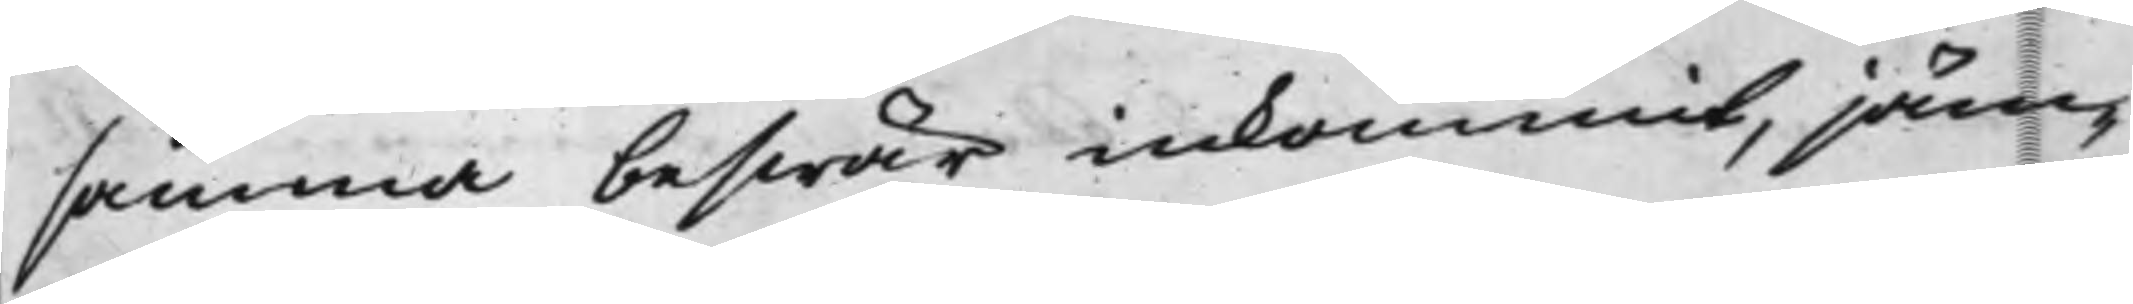samma beswär inkommit, jäm¬
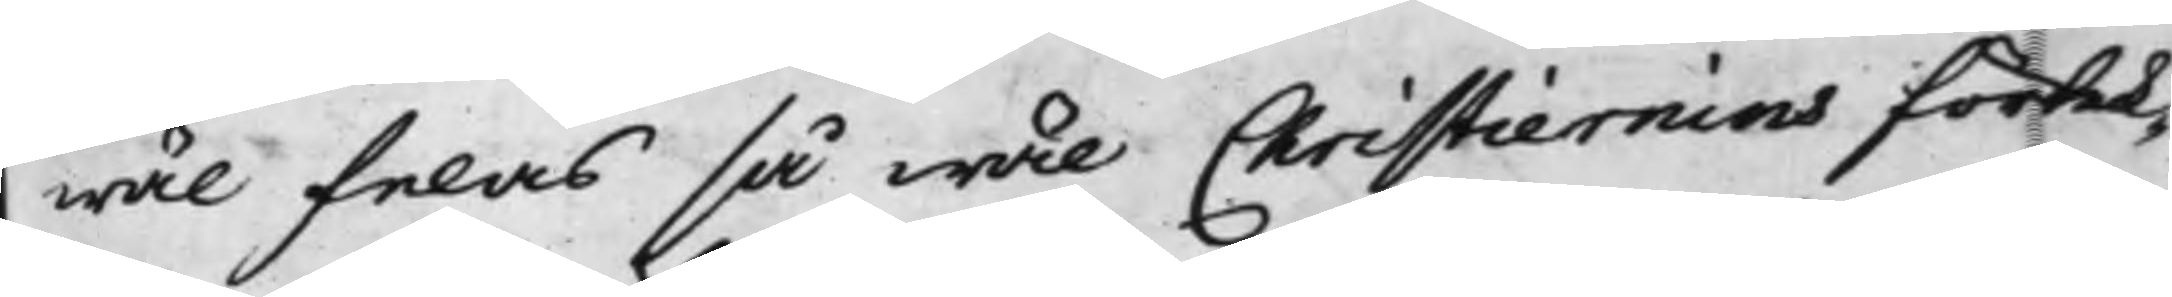wäl felas så wäl Christiernins förtek¬
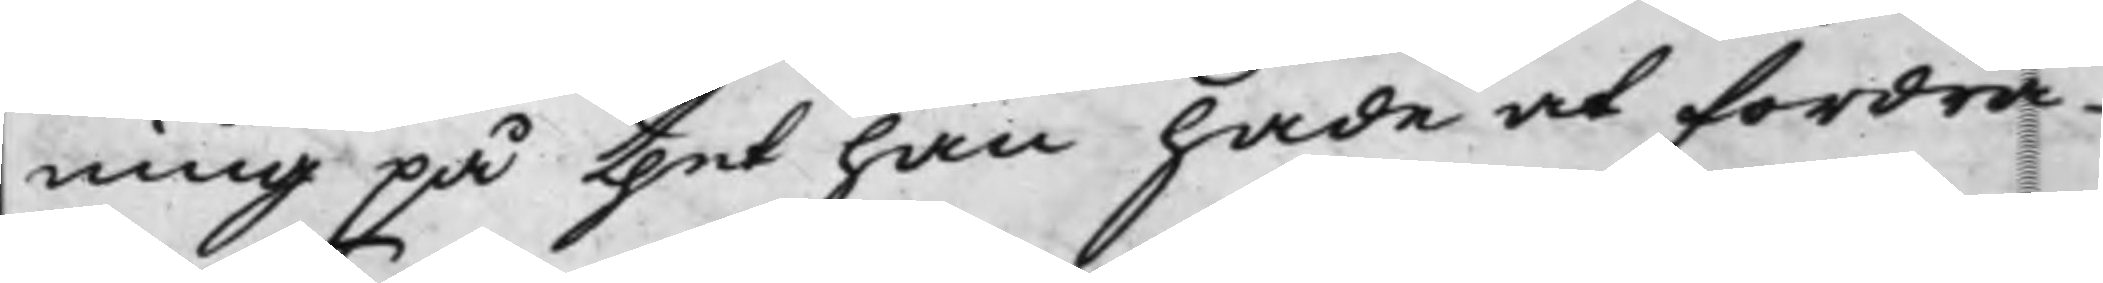ning på thet han hade at fordra
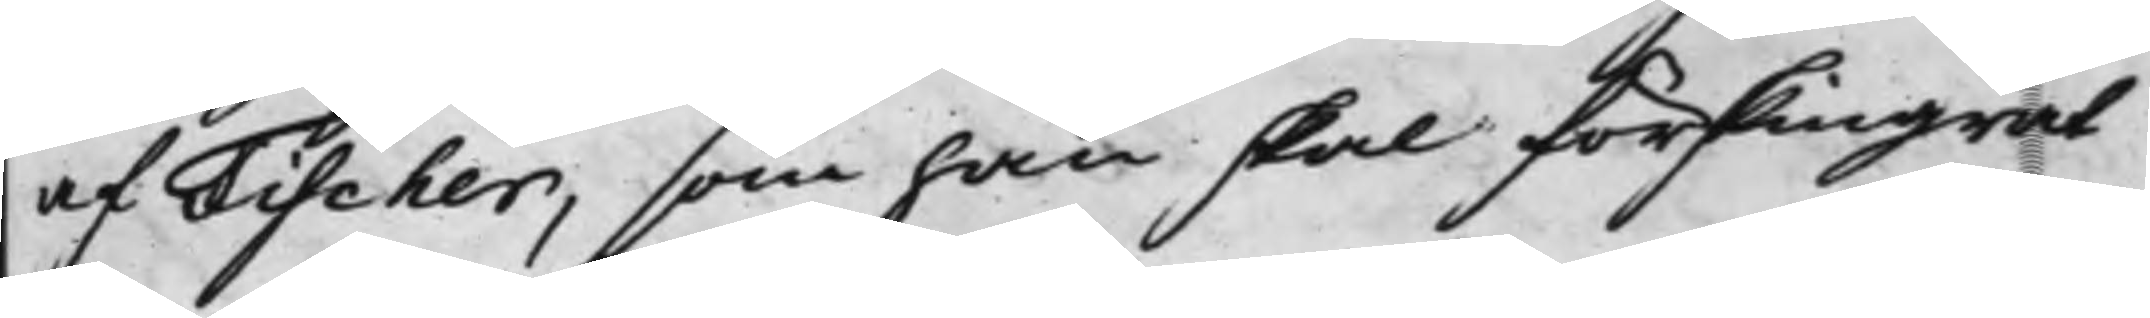af Fischer, som han skal förskingrat
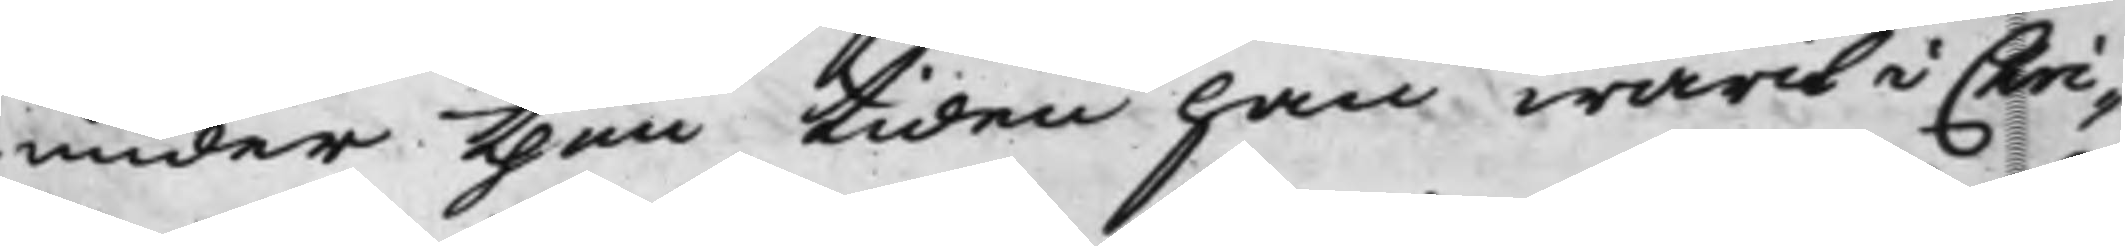under then tiden han warit i Chri¬
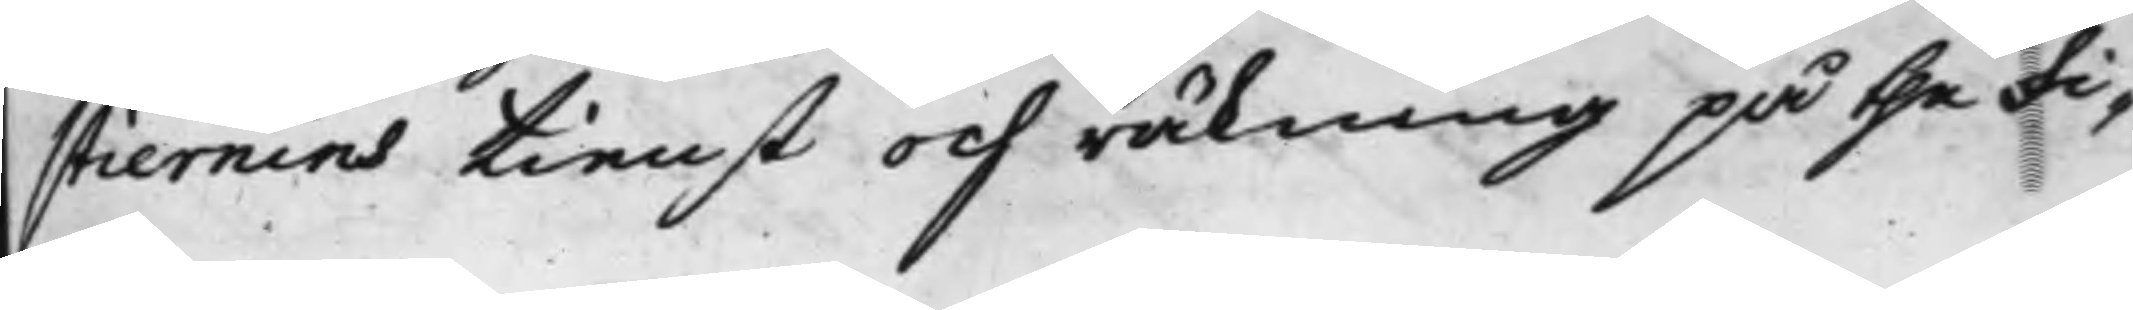stiernins tienst och räkning på the Fi¬
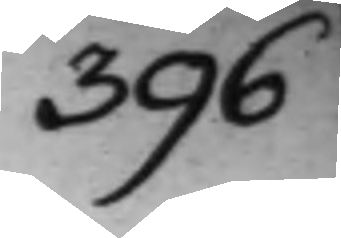396
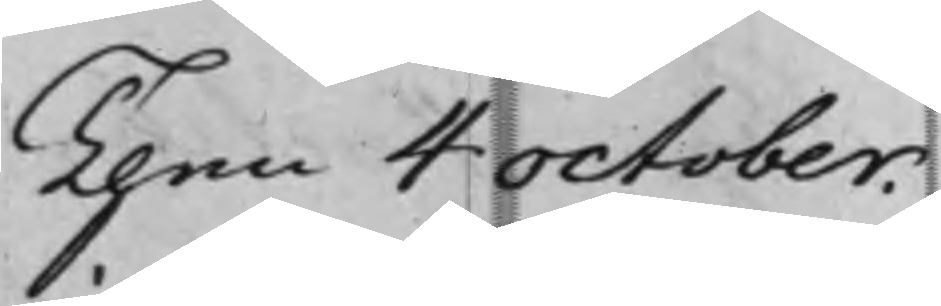Then 4 October.
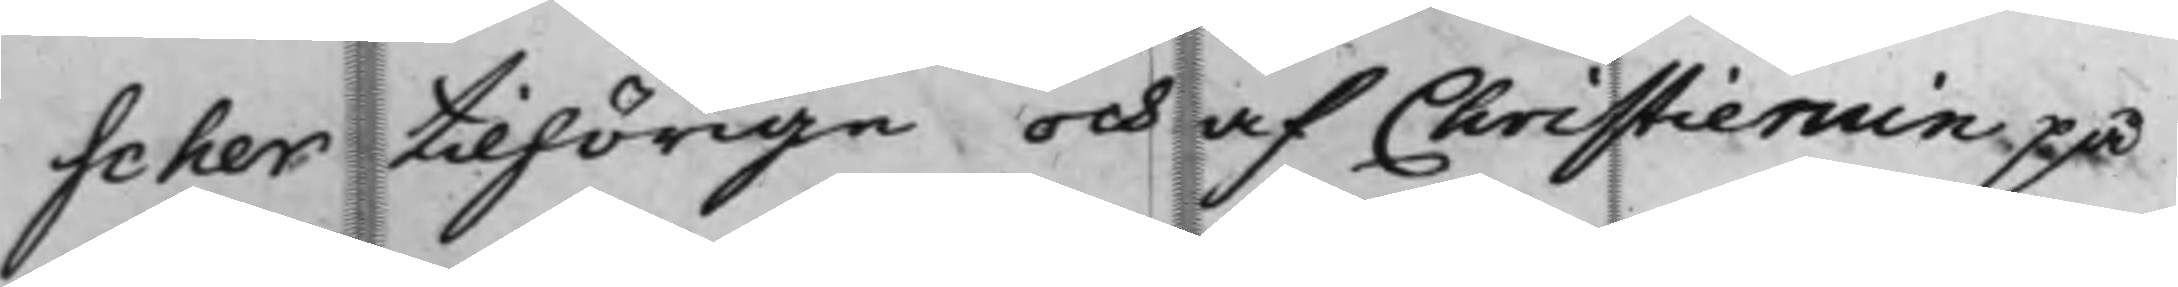scher tilhörige och af Christiernin på
